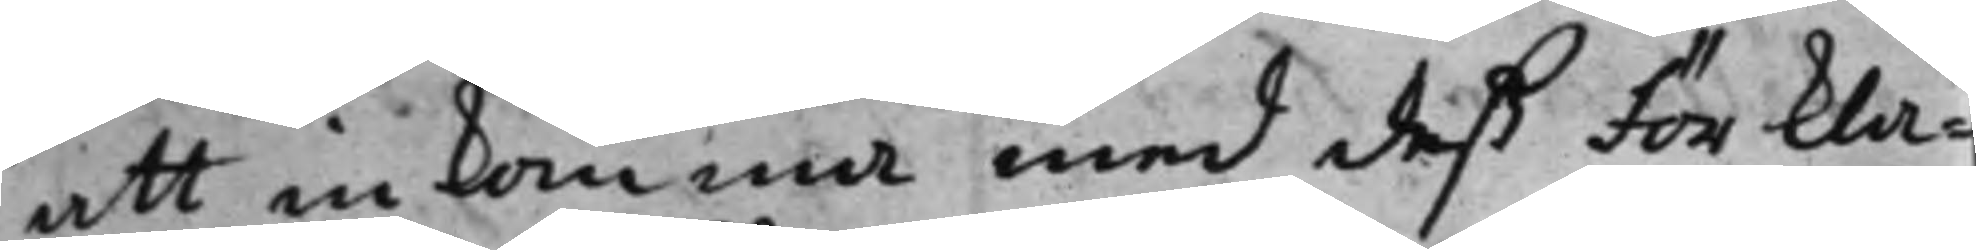att inkomma med deß förkla¬
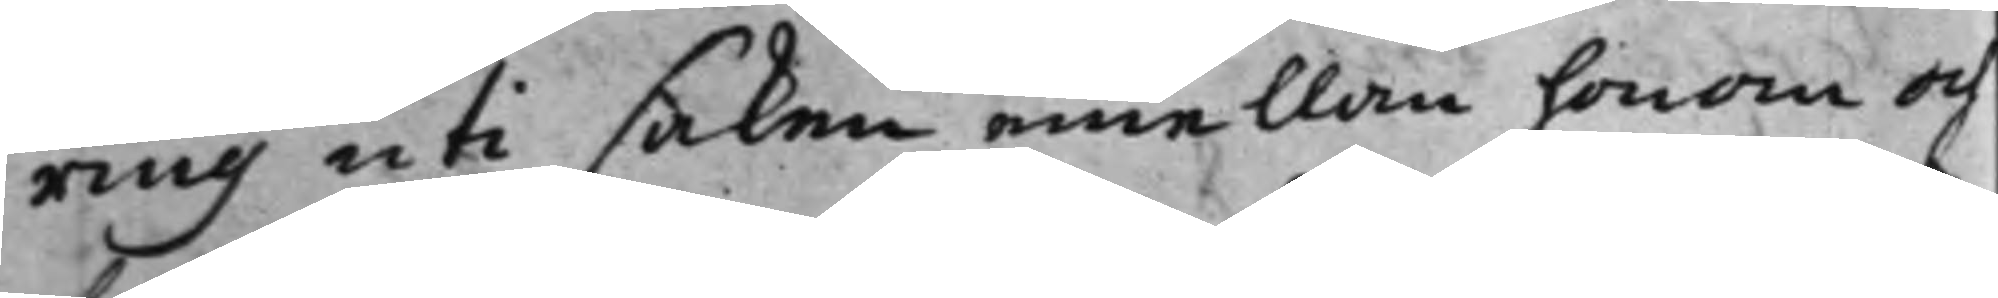ring uti saken emellan honom och
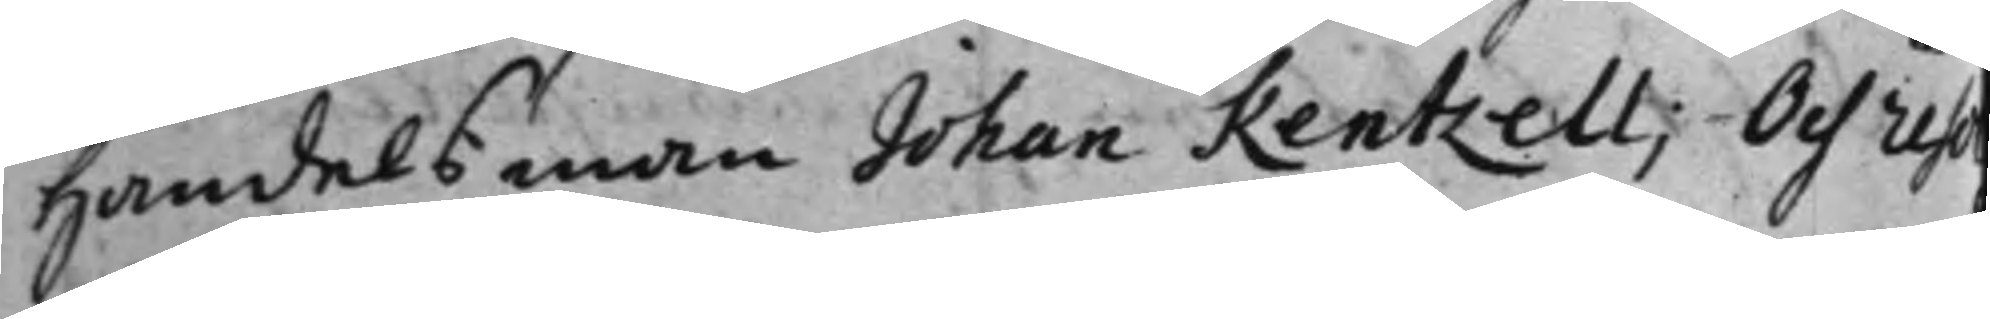Handelsman Johan Rentzell; Och reso
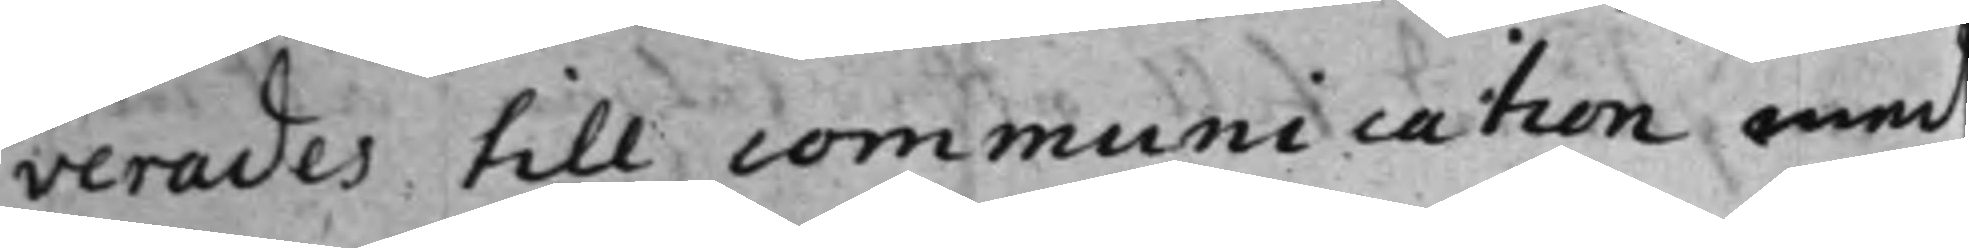verades till communication med
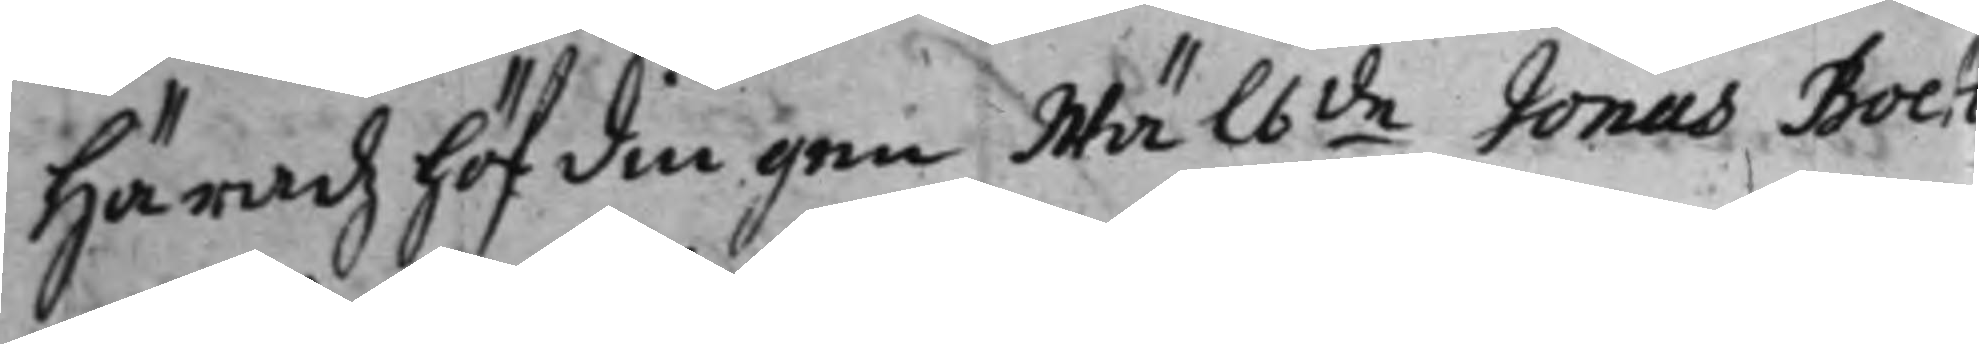Häradzhöfdingen Wälb:de Jonas Boeti¬ 
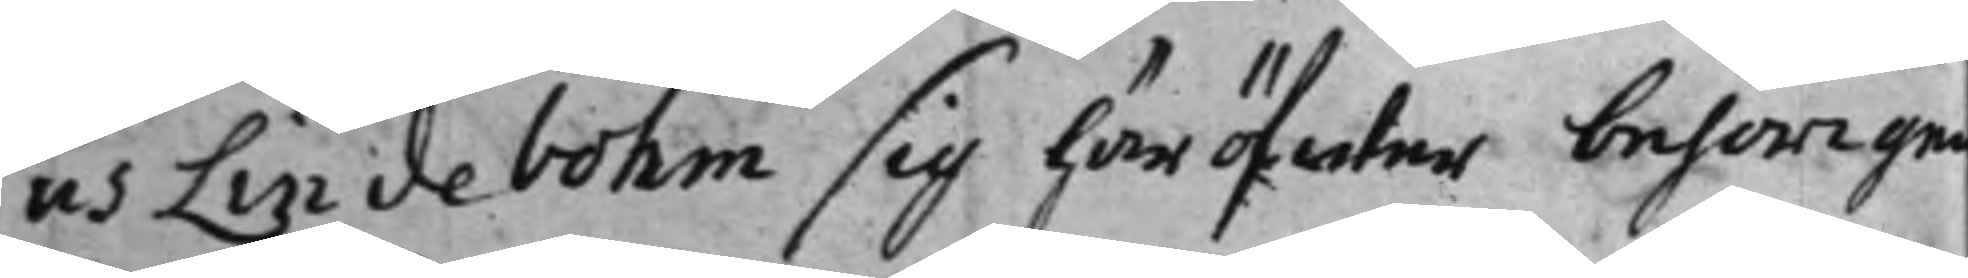us Lindebohm sig häröfwer behörigen
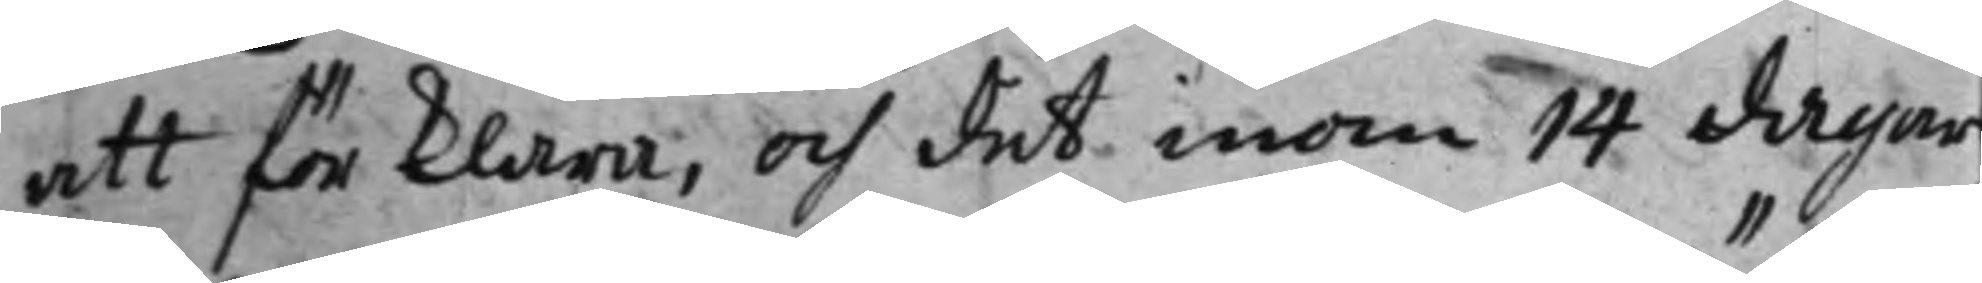att förklara, och det inom 14 dagar
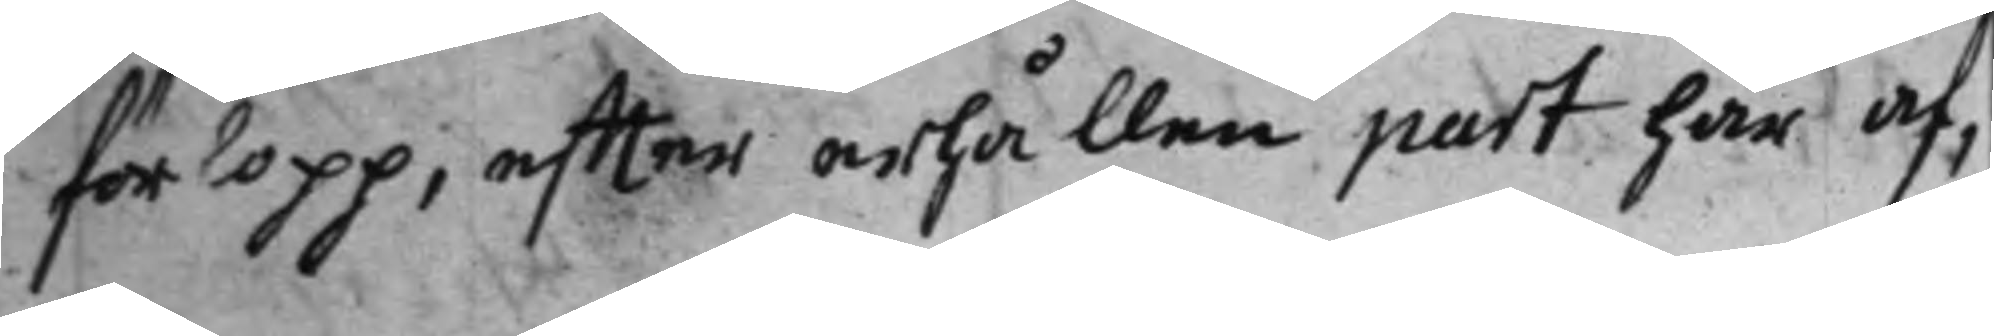förlopp, effter erhållen part här af,
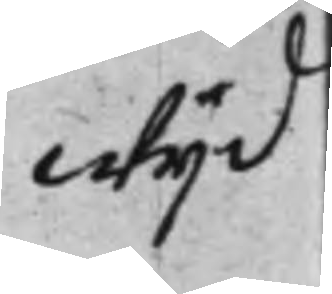wijd
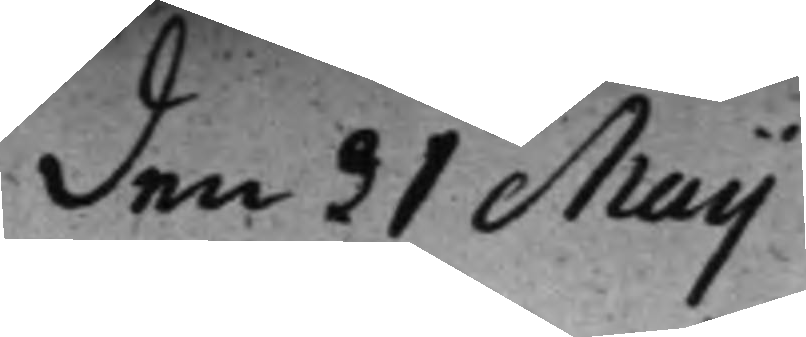den 31 Maij
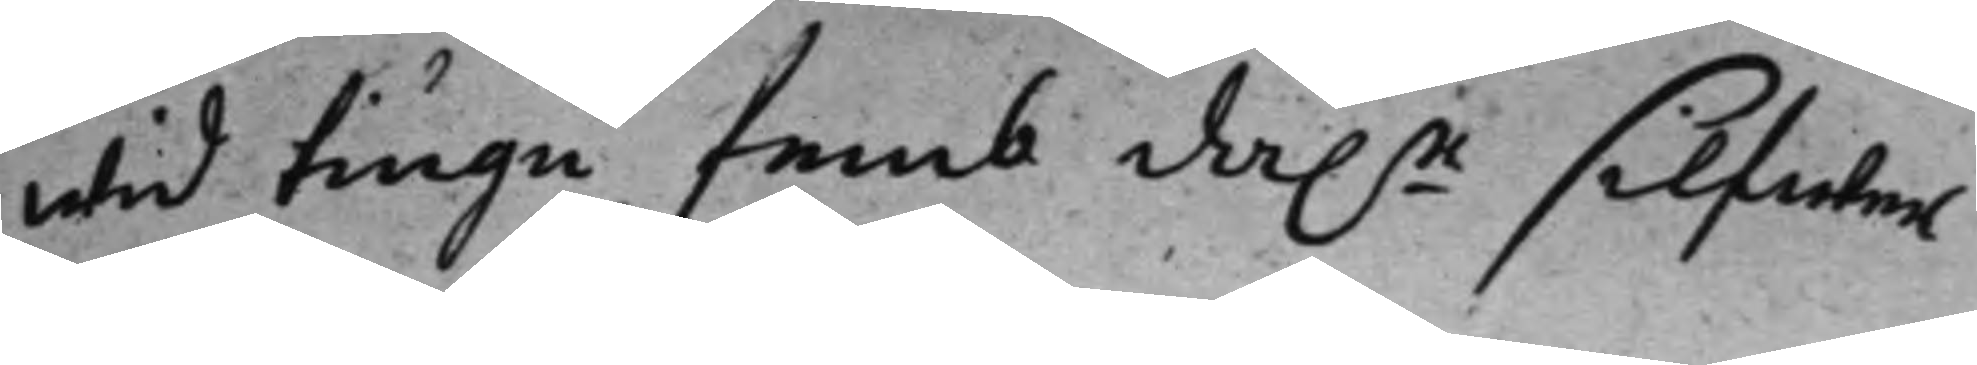wid tiugu femb dal.r silfwer¬
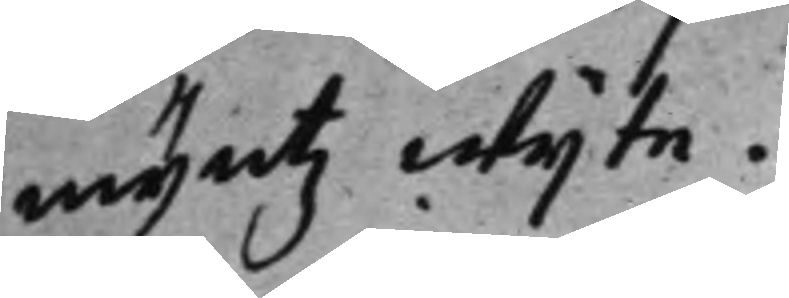myntz wijte.
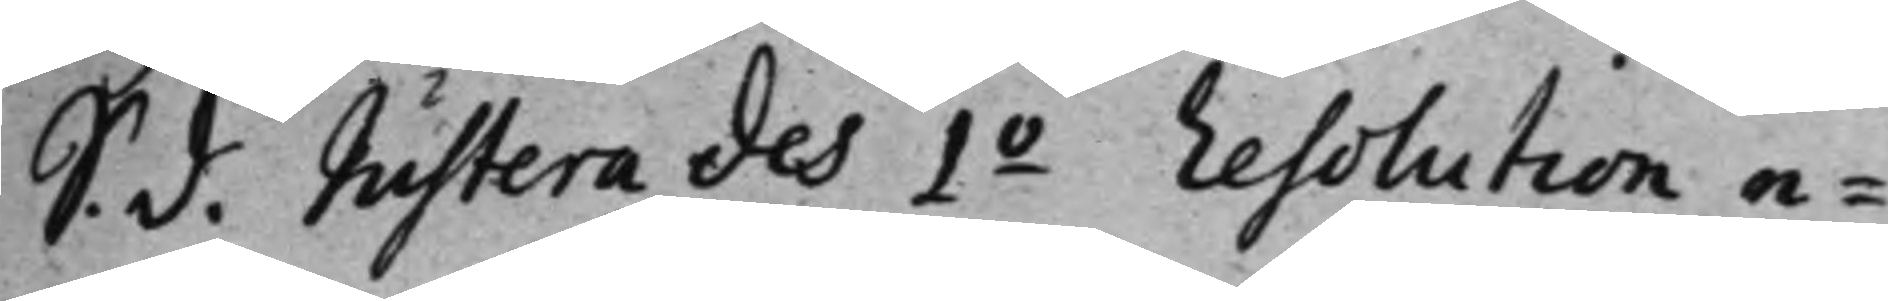S. d. Justerades 1:o Resolution e¬ 
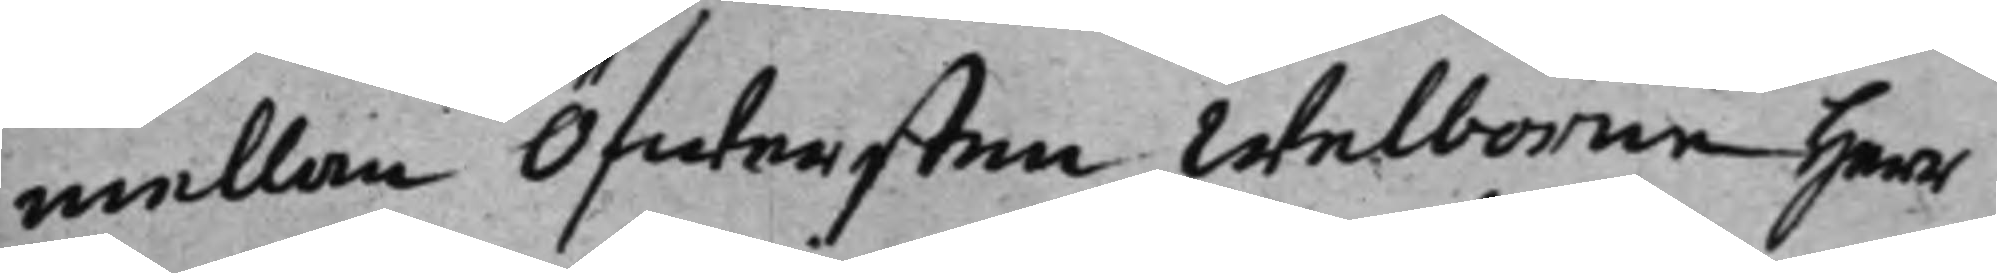mellan Öfwersten Welborne herr
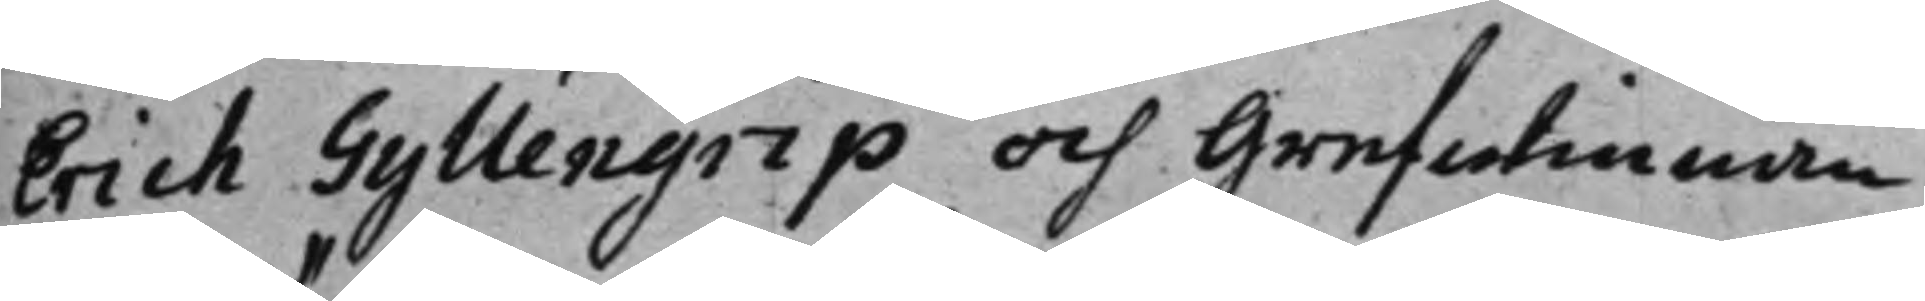Erich Gyllengrip och Grefwinnan
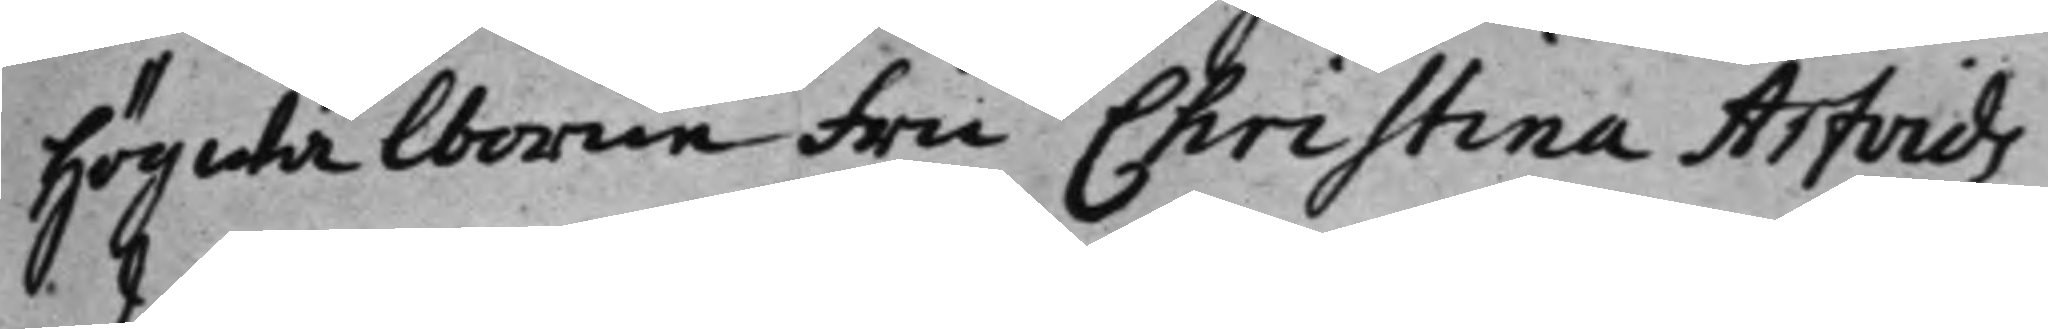högwälborne Fru Christina Arfvids¬
